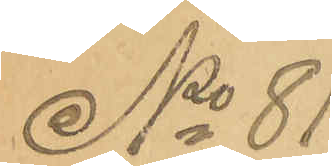No 81
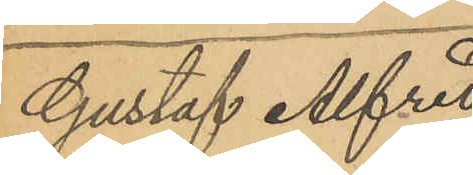Gustaf Alfred
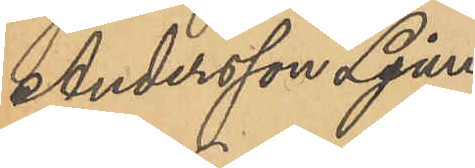Andersson Ljung¬
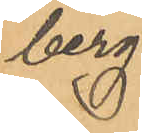berg.
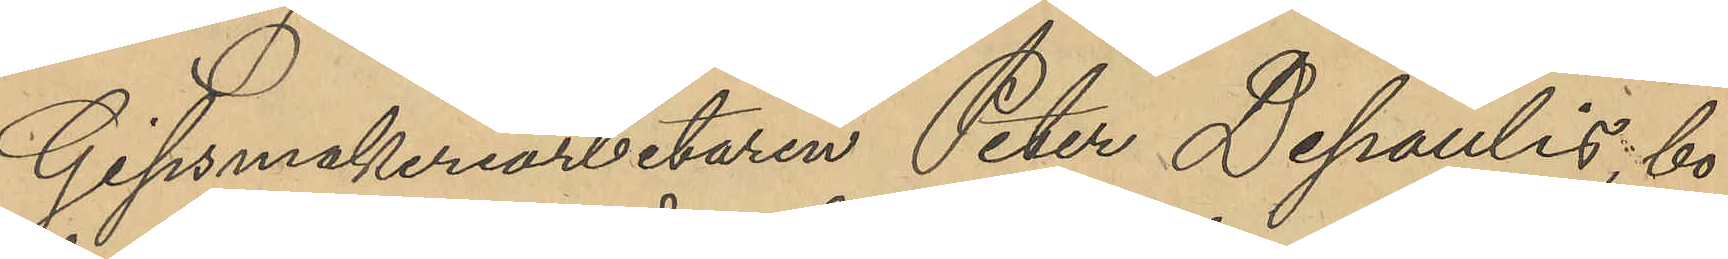Gipsmakeriarbetaren Peter Depaulis bo¬
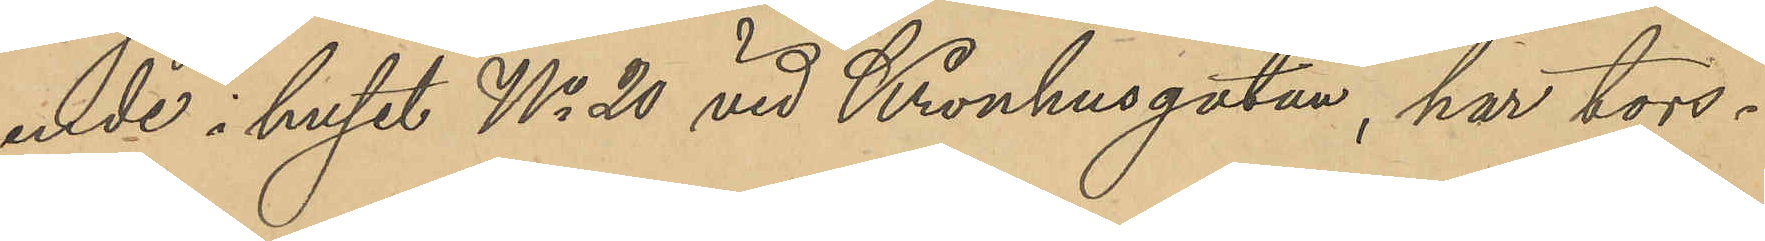ende i huset No 20 vid Kronhusgatan, har tors¬
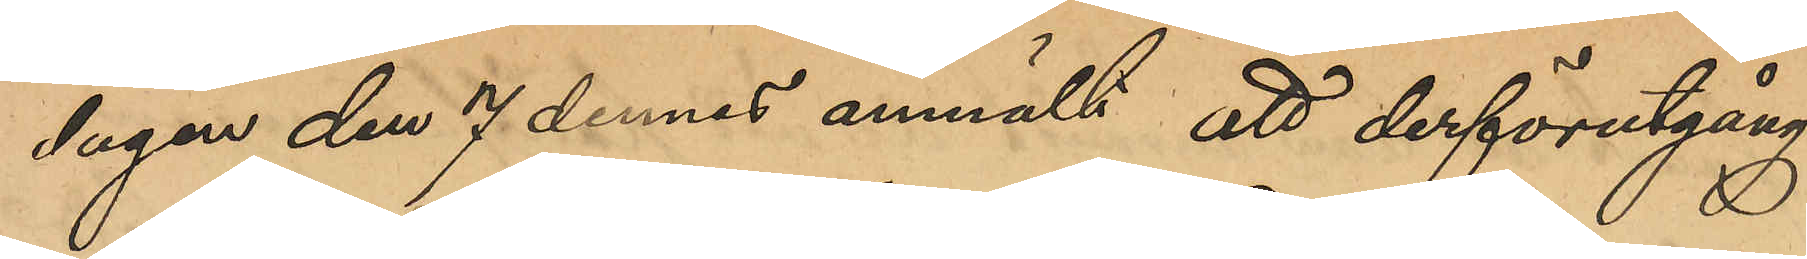dagen den 7 dennes anmält att derförutgång¬
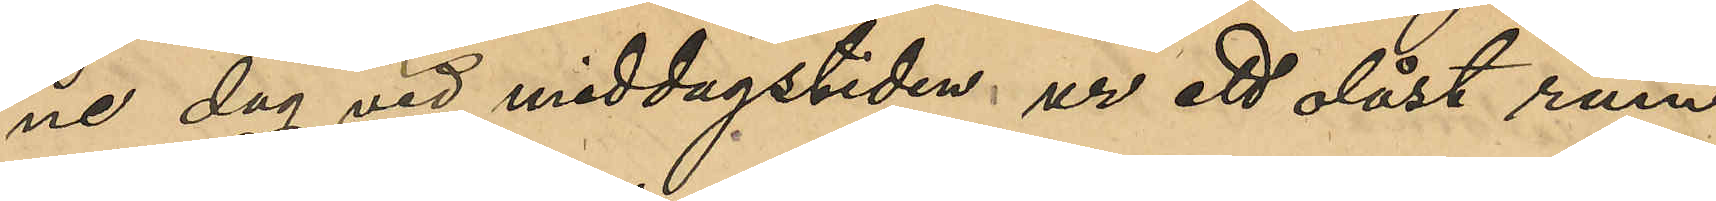ne dag vid middagstiden ur ett olåst rum
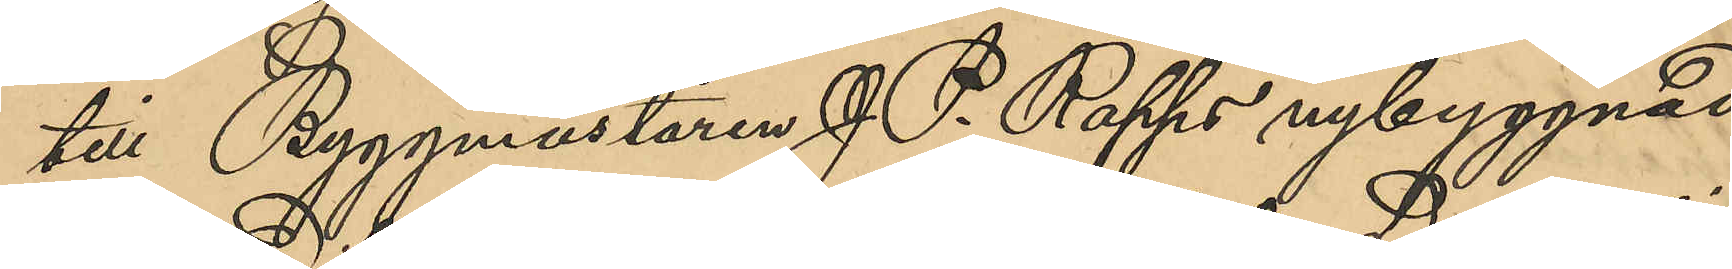till Byggmästaren J. P. Rapps nybyggnad
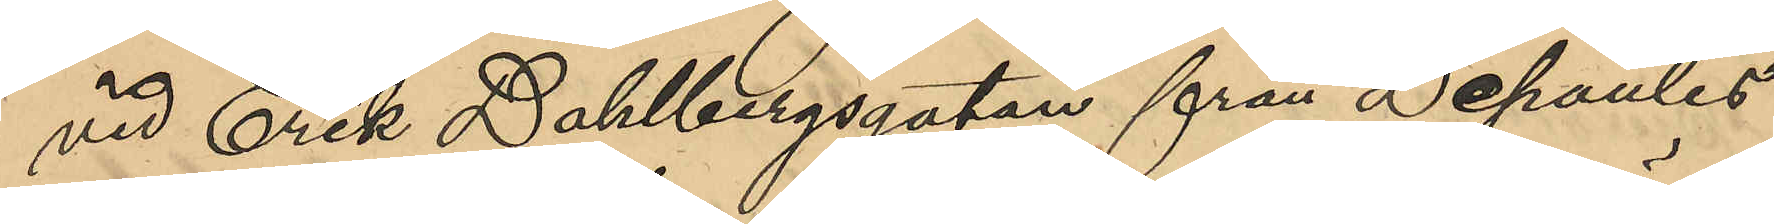vid Erik Dahlbergsgatan från Depaulis
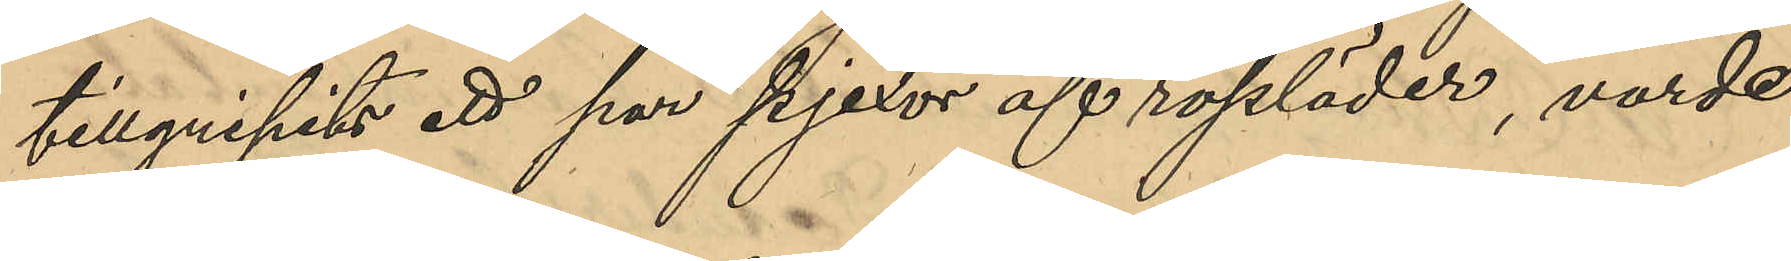tillgripits ett par pjexor af rossläder, värde 
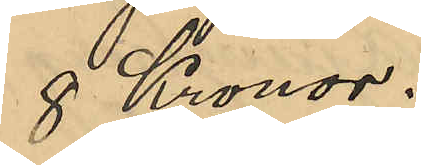8 Kronor.
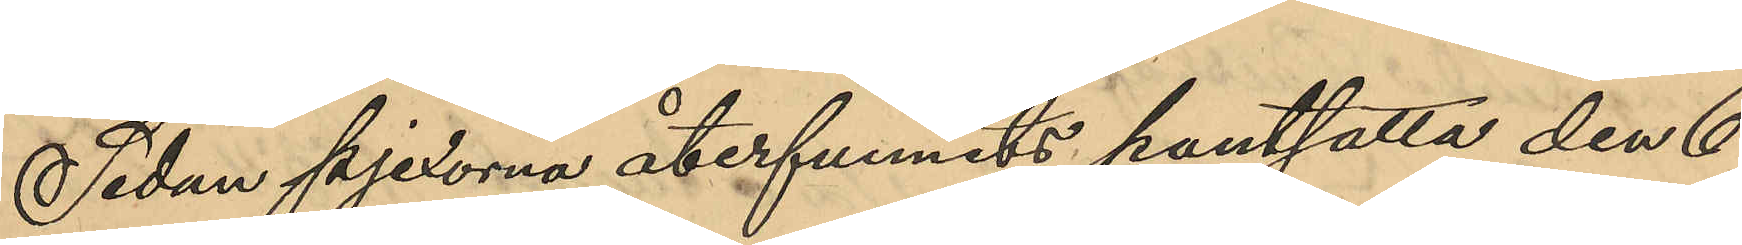Sedan pjexorna återfunnits pantsatta den 6
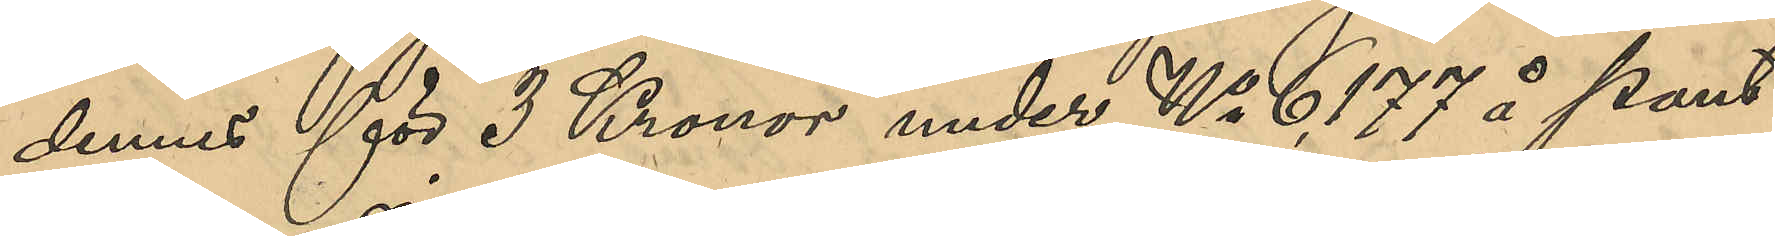dennes för 3 Kronor under No 6,177 å Pant¬
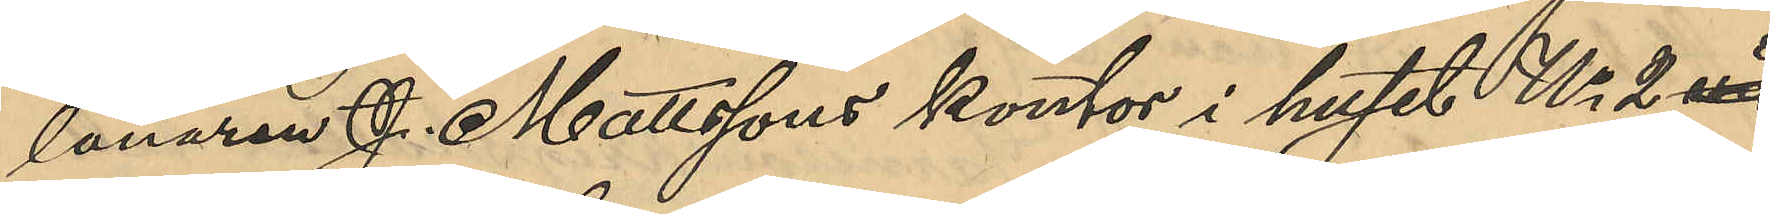lånaren J. Mattssons kontor i huset No 2 vid
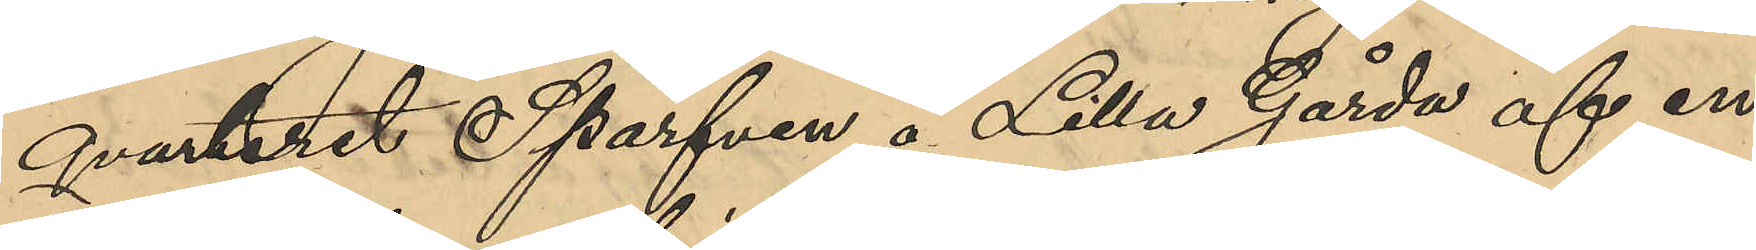qvarteret Sparven å Lilla Gårda af en 
